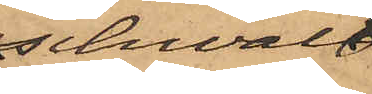schwal
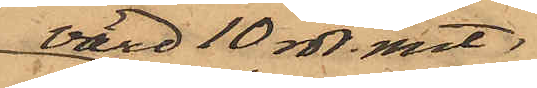värd 10 rdr. rmt,
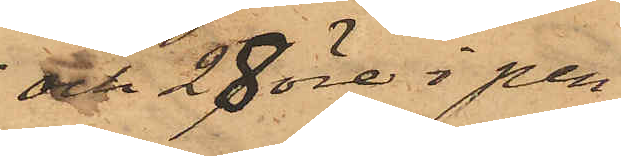och 28 öre i pen¬
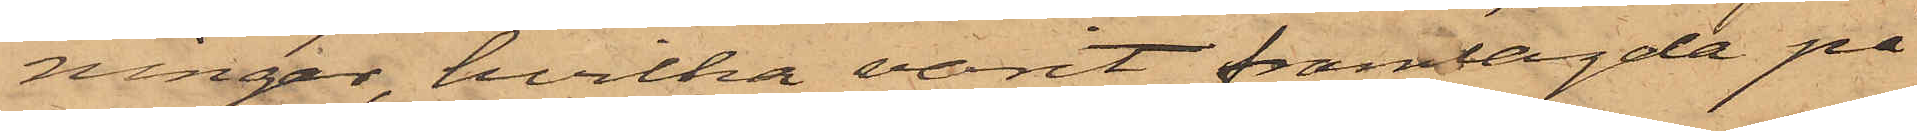ningar, hvilka varit framlagde på
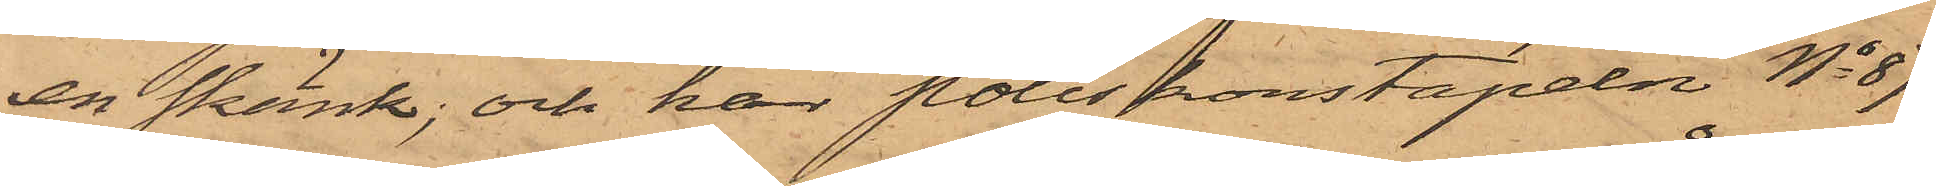en skänk; och har poliskonstapeln No 87
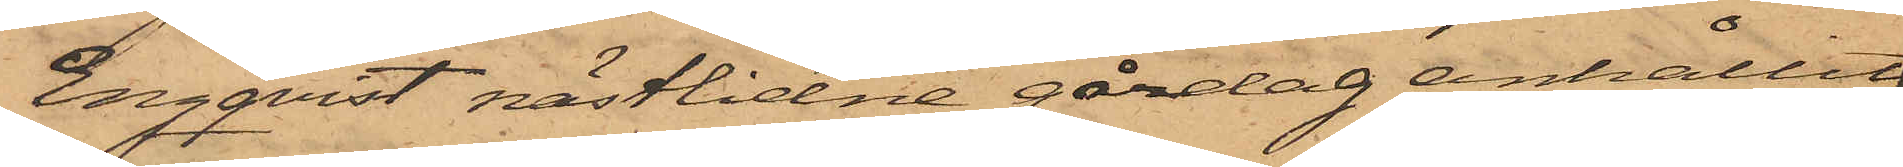Engqvist nästlidne gårdag anhållit
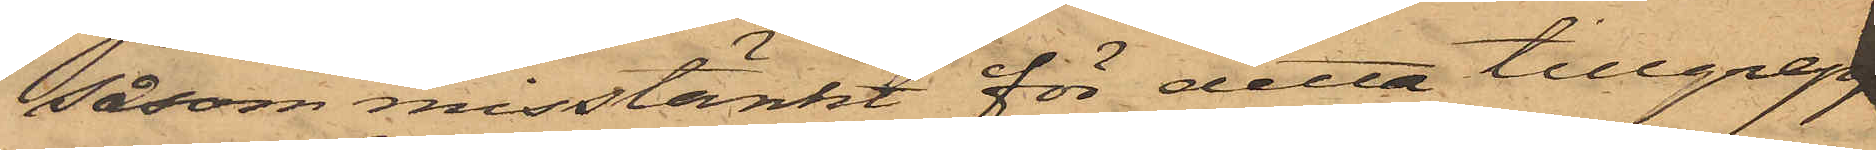såsom misstänkt för detta tillgrepp
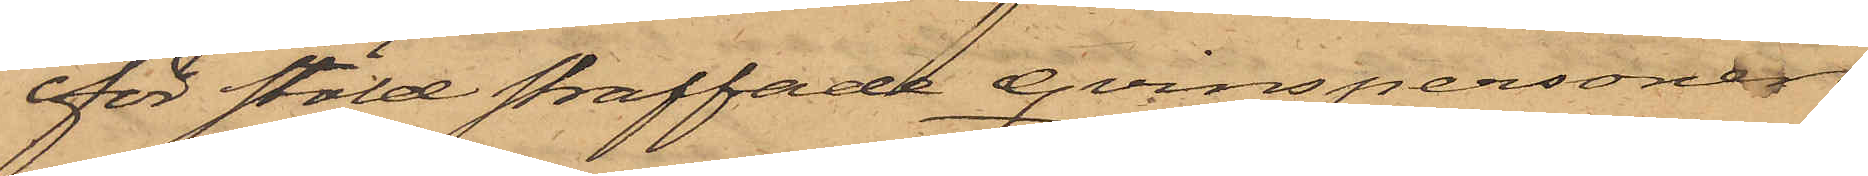för stöld straffade qvinspersonen
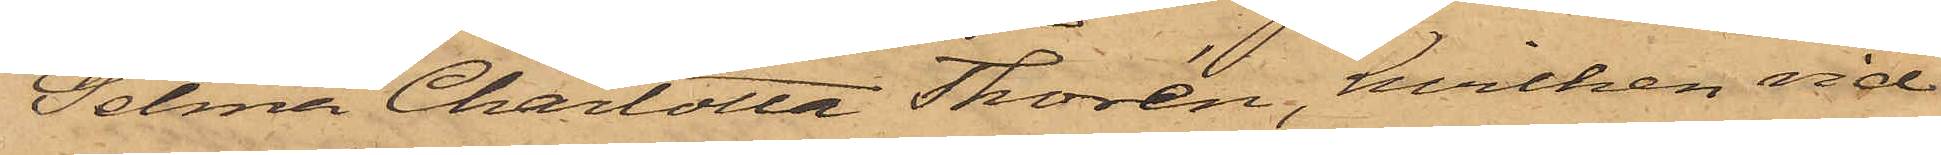Selma Charlotta Thorén, hvilken vid
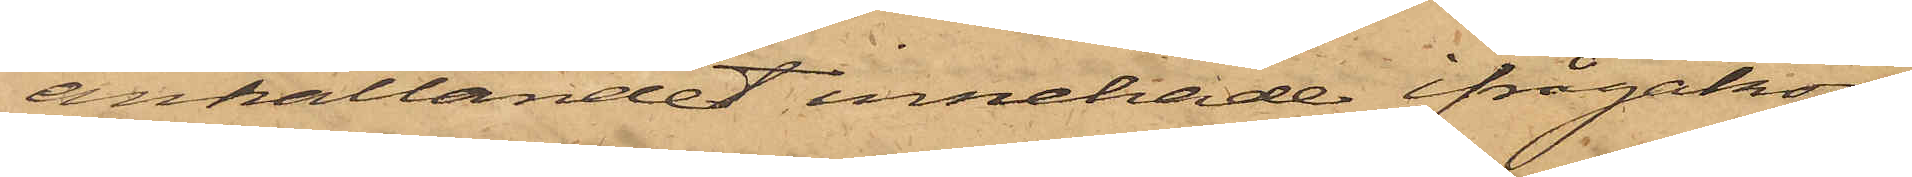anhållandet innehade ifrågakom¬
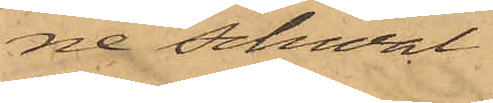ne schwal.
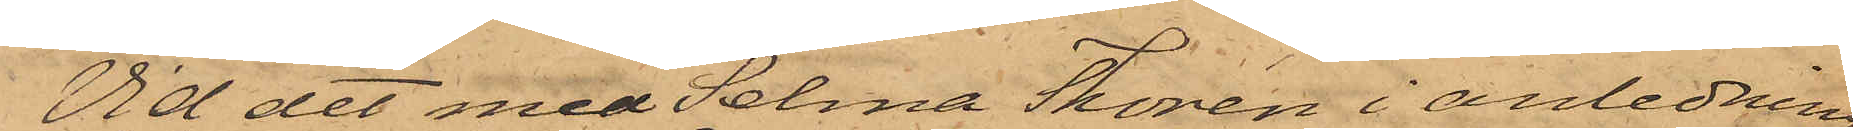Vid det med Selma Thorén i anledning
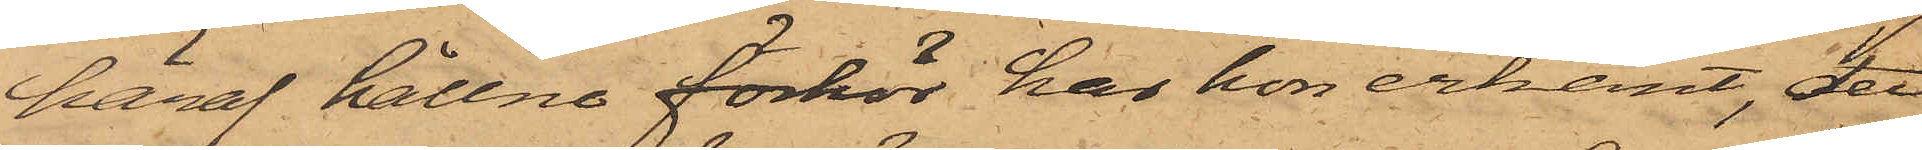häraf hållne förhör har hon erkänt, det
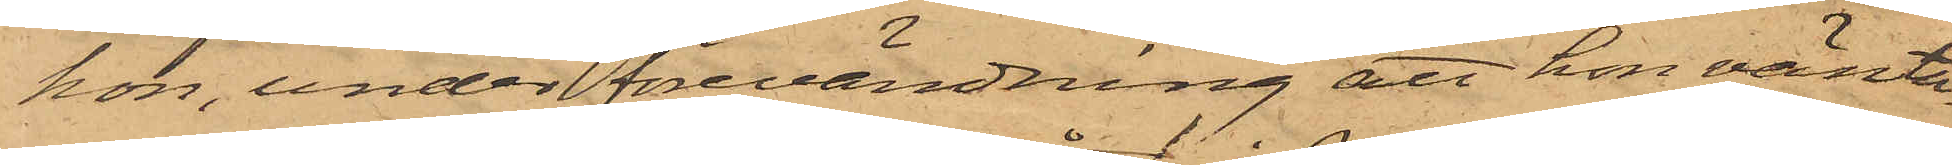hon, under förevändning att hon vänta¬
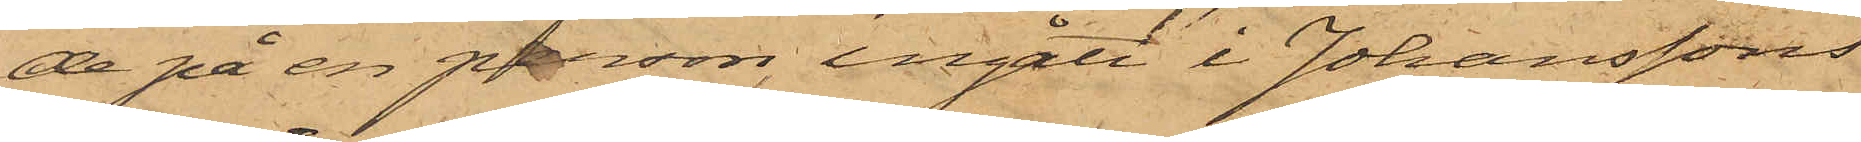de på en person, ingått i Johanssons
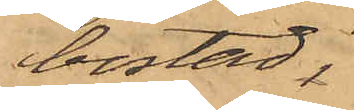bostad,
